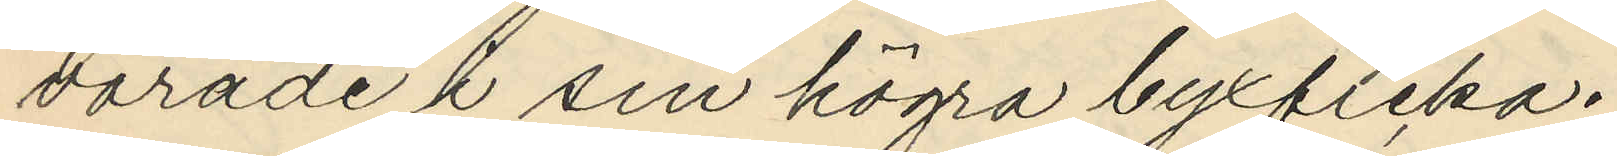varade l sin högra byxficka.
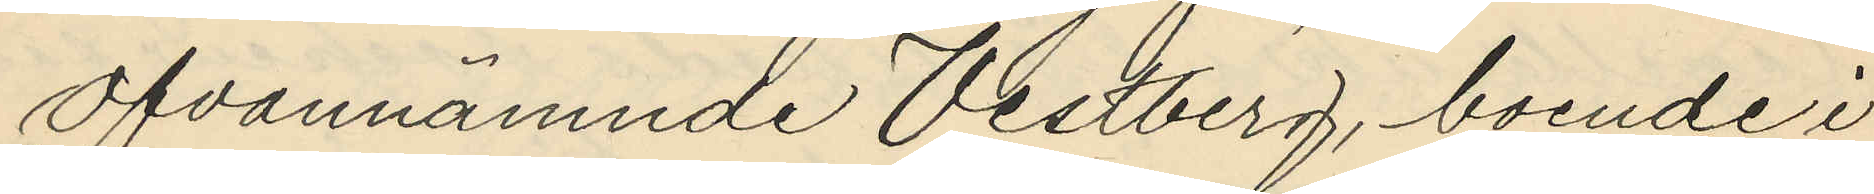Ofvannämnde Vestberg, boende i
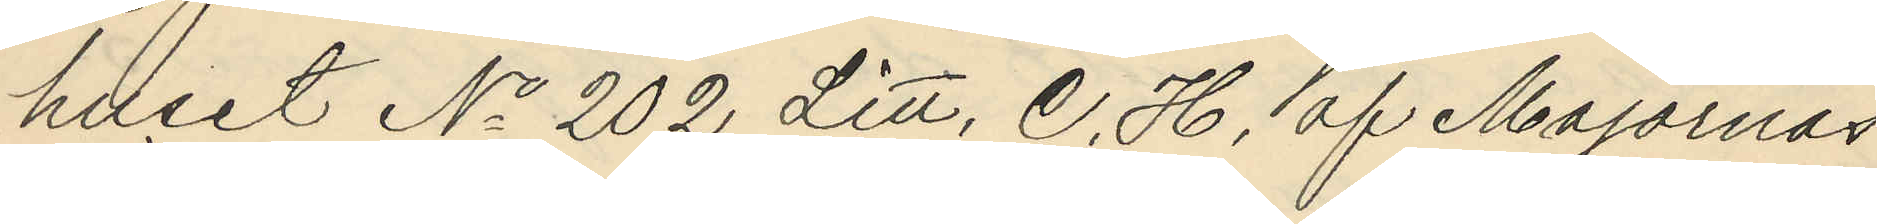huset No 202 Litt. C. H. af Majornas
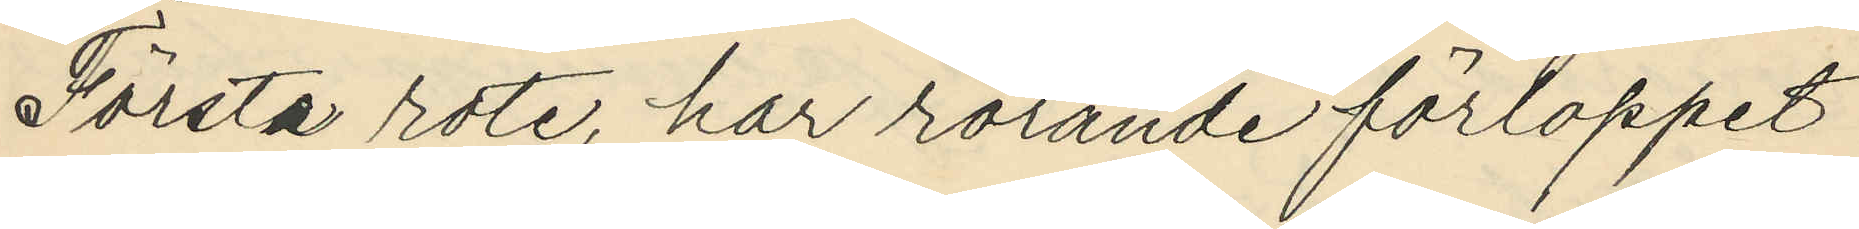Första rote, har rörande förloppet
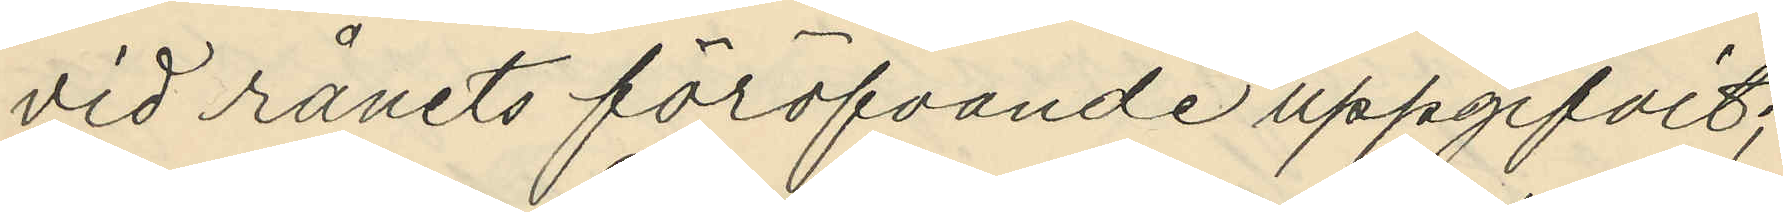vid rånets föröfvande uppgifvit;
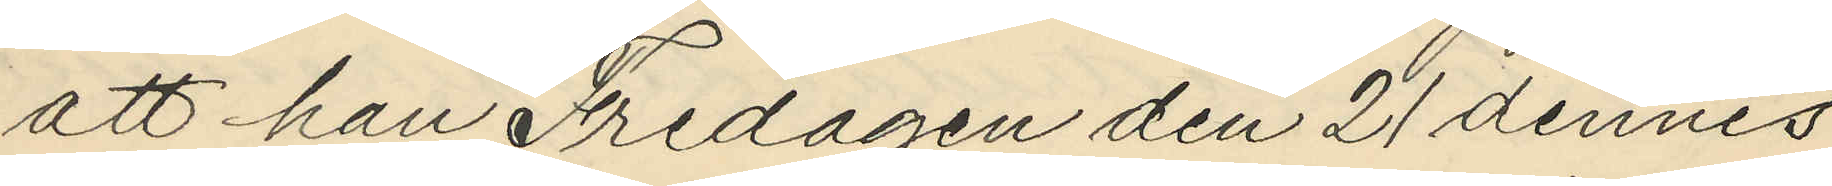att han Fredagen den 21 dennes
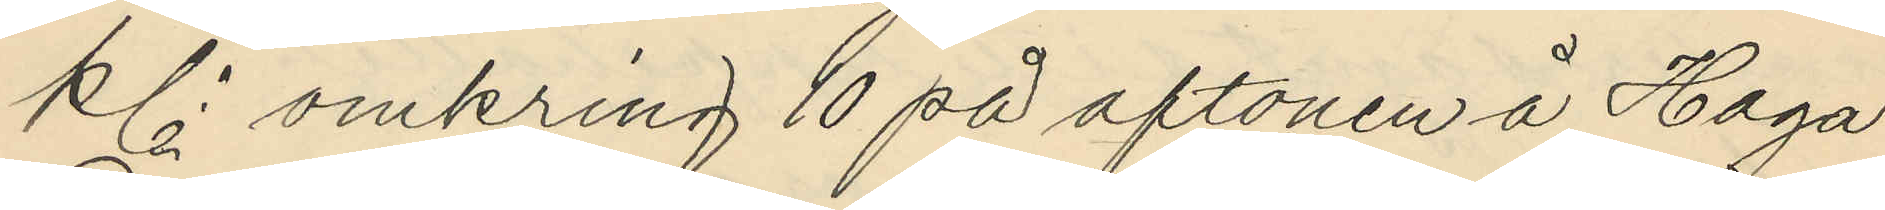kl. omkring 10 på aftonen å Haga
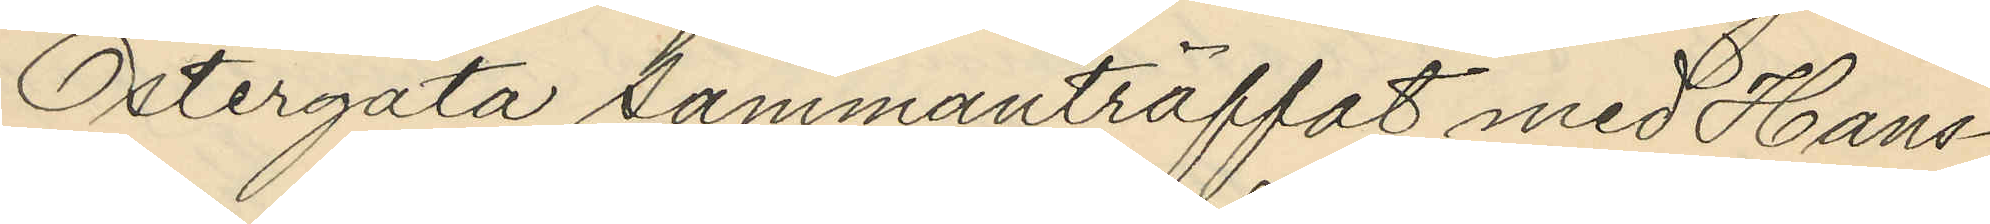Östergata sammanträffat med Hans¬
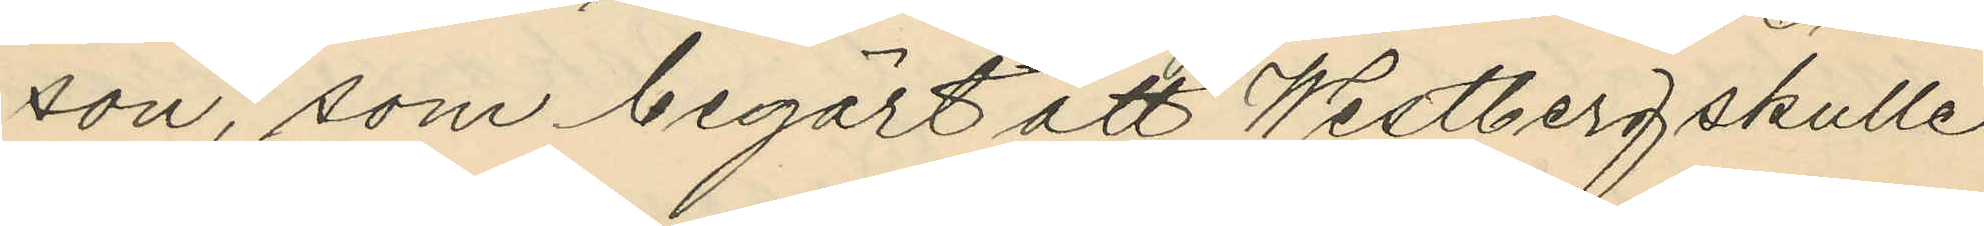son, som begärt att Westberg skulle
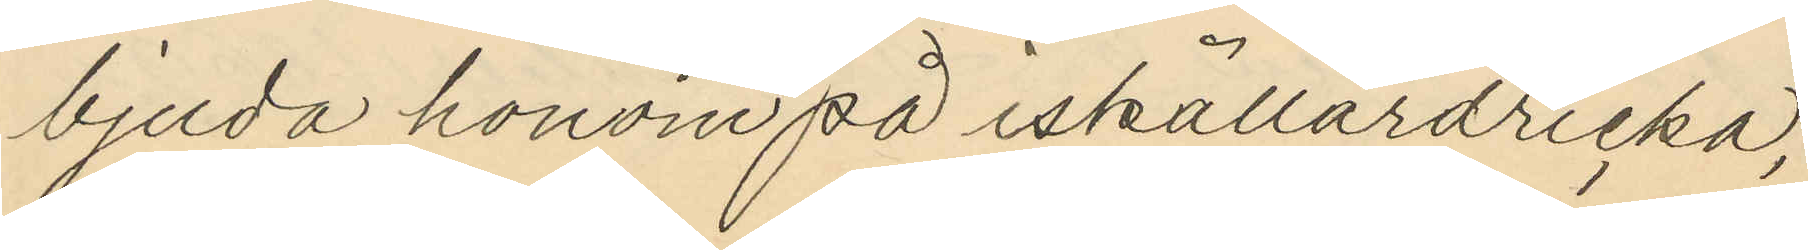bjuda honom på iskällardricka;
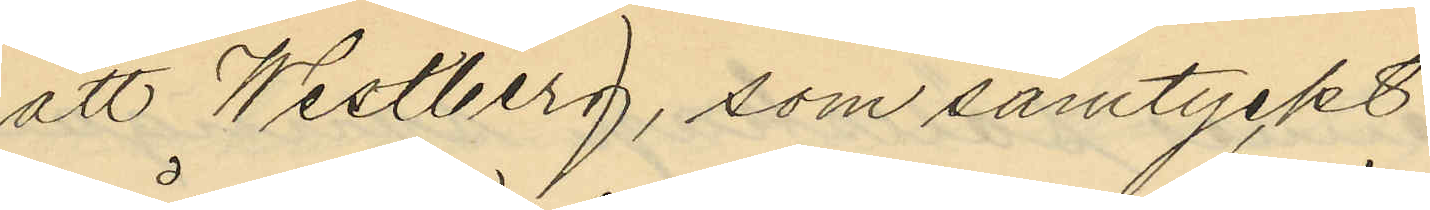att Westberg, som samtyckt
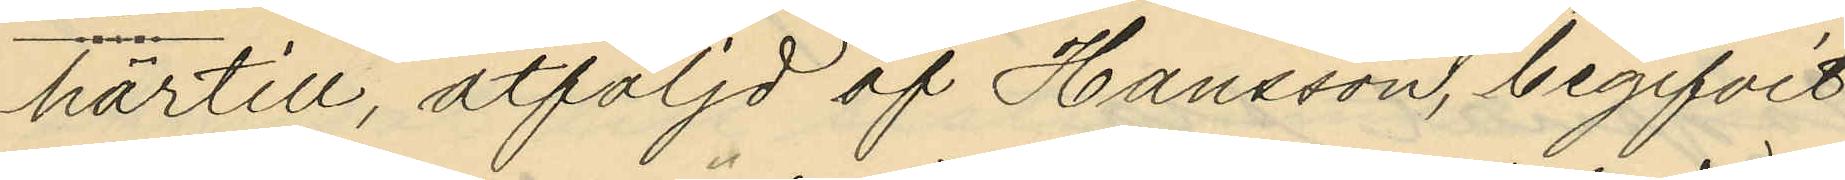härtill, åtföljd af Hansson, begifvit
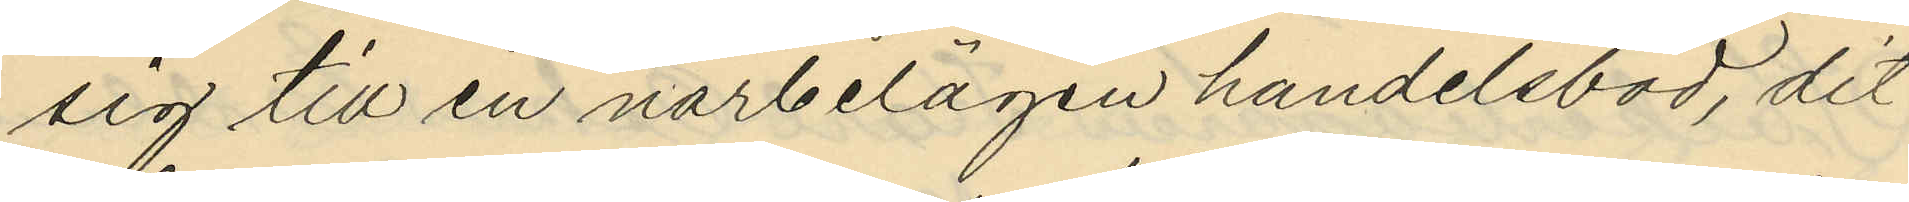sig till en närbelägen handelsbod, dit
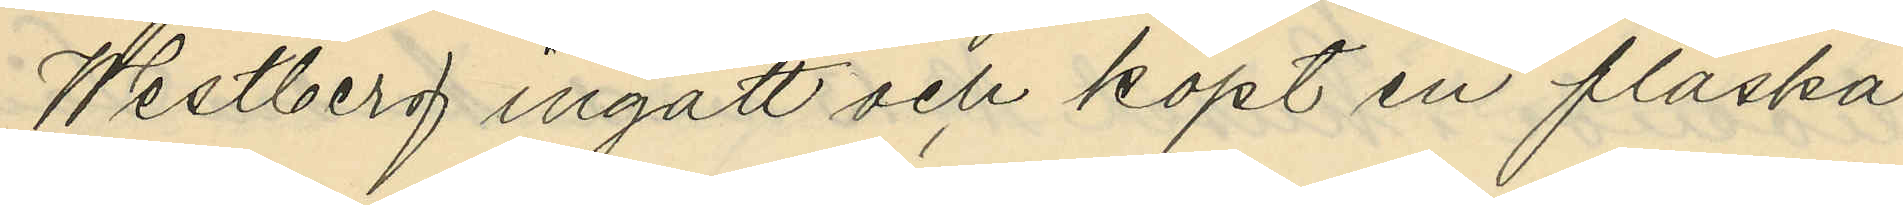Westberg ingått och köpt en flaska
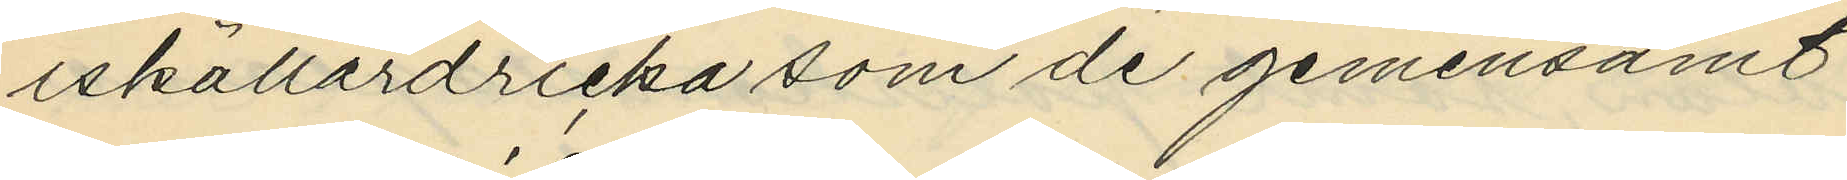iskällardricka som de gemensamt
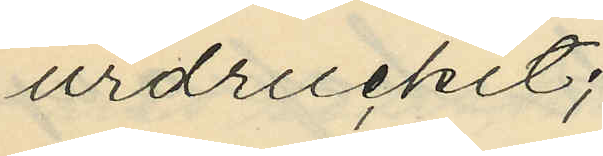urdruckit;
